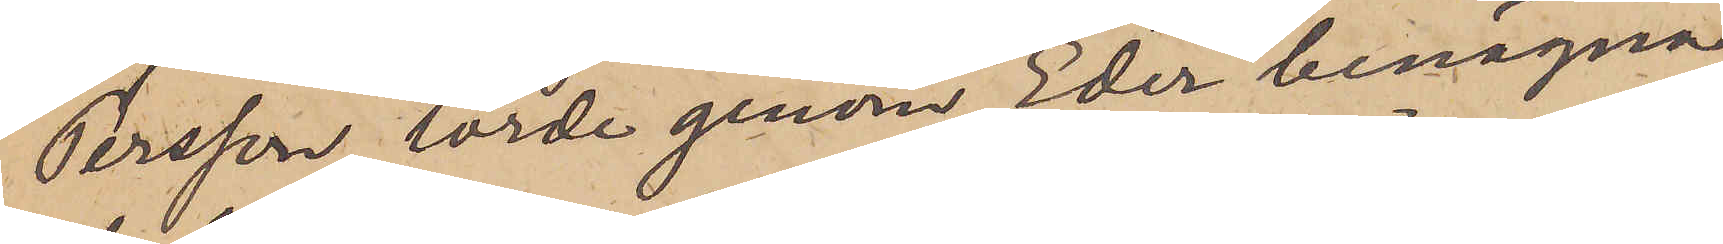Persson, torde genom Eder benägna
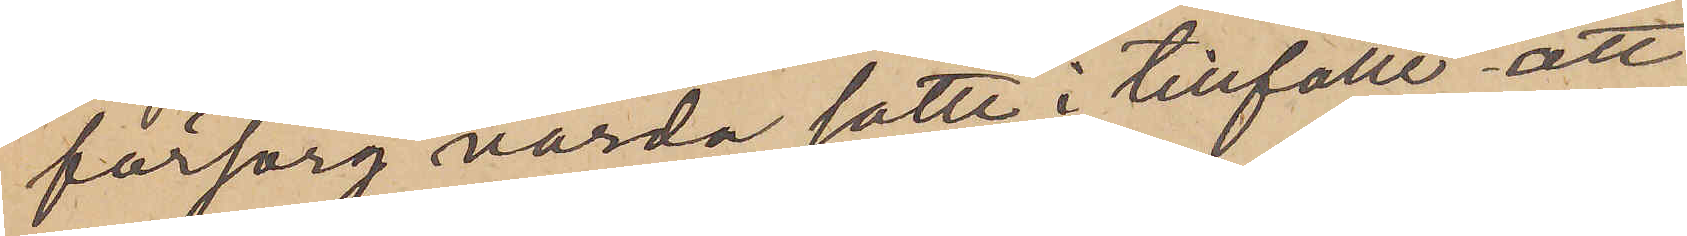försorg varda satte i tillfälle att
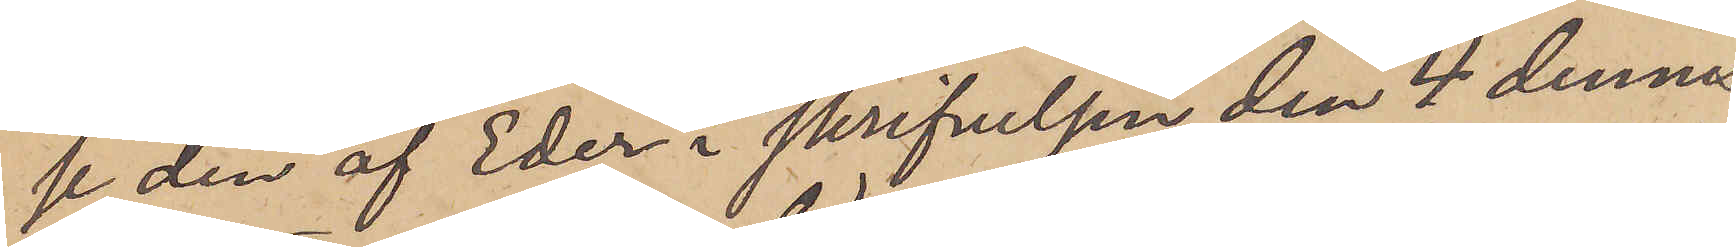se den af Eder i skrifvelsen den 4 dennes
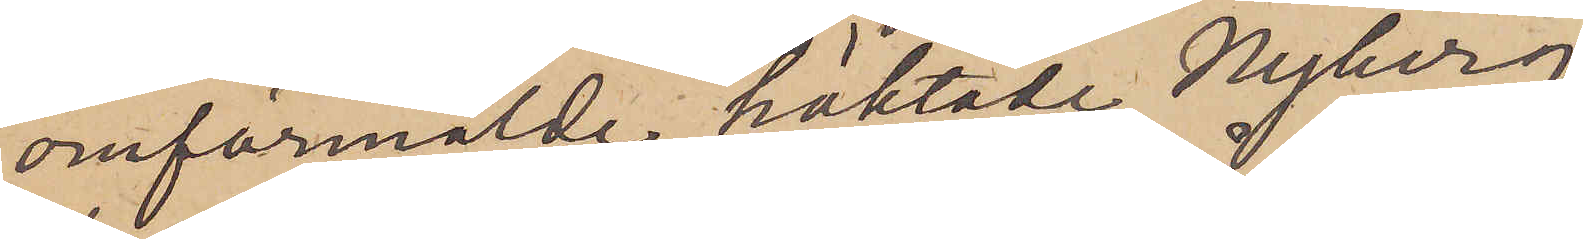omförmälde häktade Nyberg;
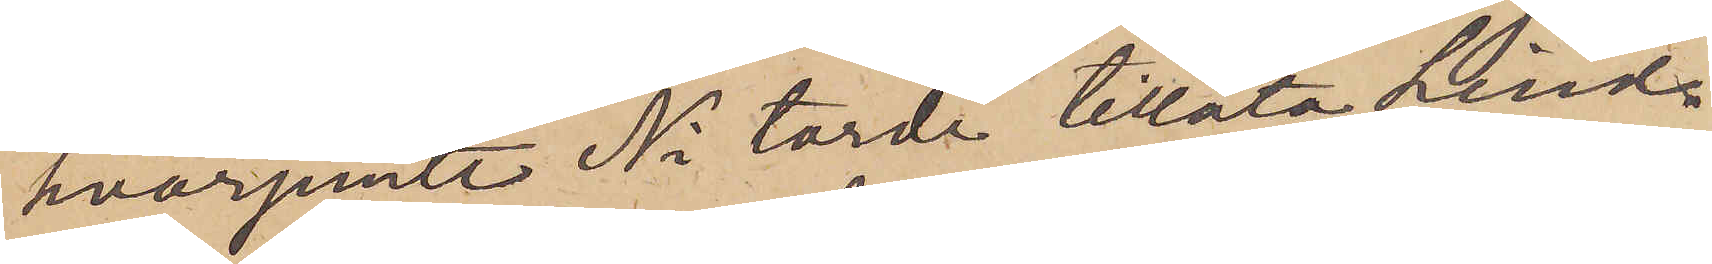hvarjemte Ni torde tillåta Lind¬
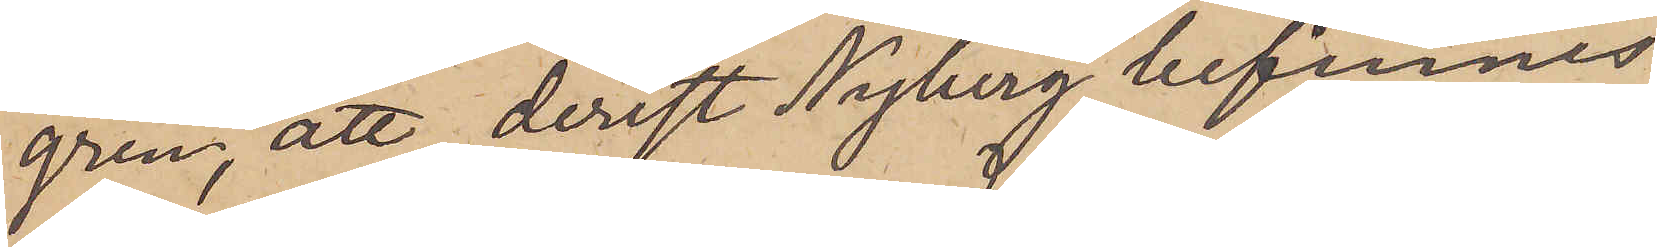gren, att derest Nyberg befinnes
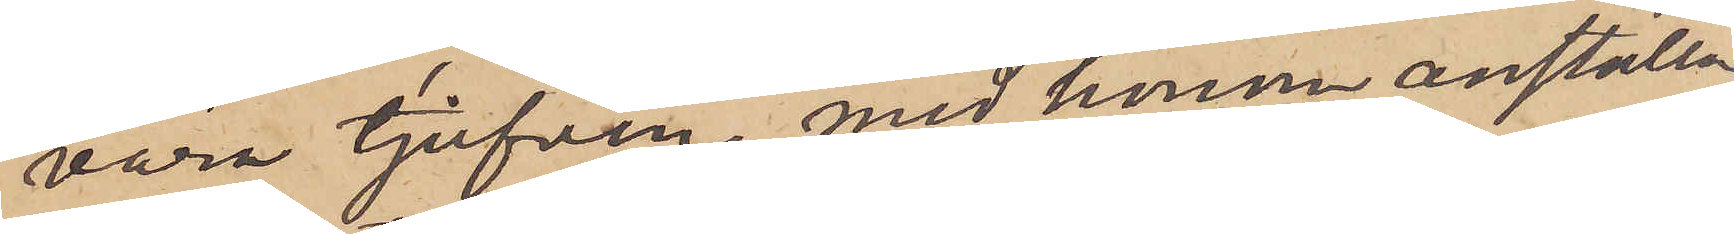vara tjufven, med honom anställa
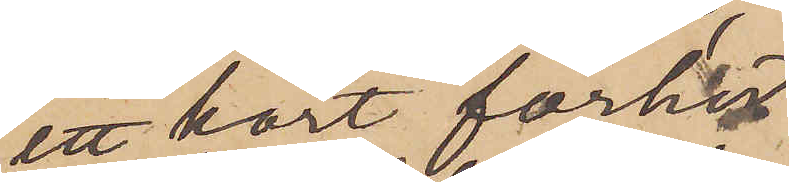ett kort förhör.
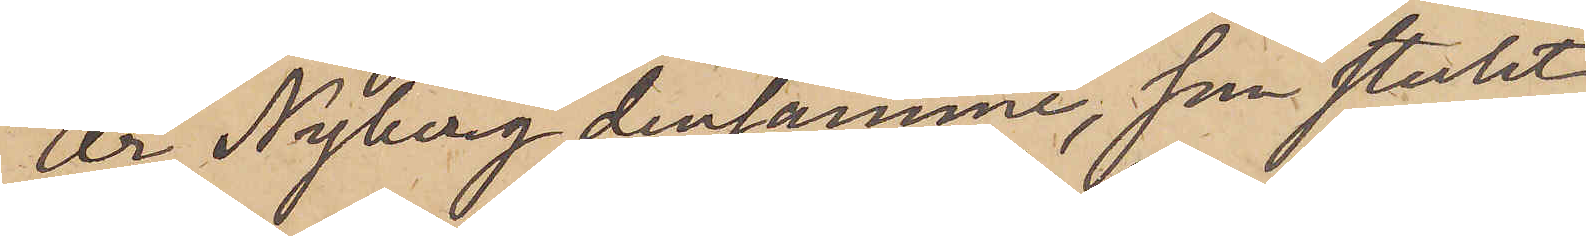Är Nyberg densamme, som stulit
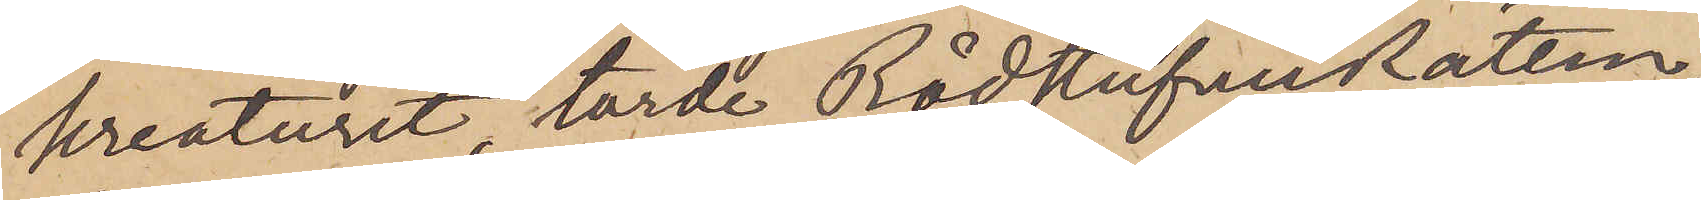kreaturet, torde RådstufveRätten,
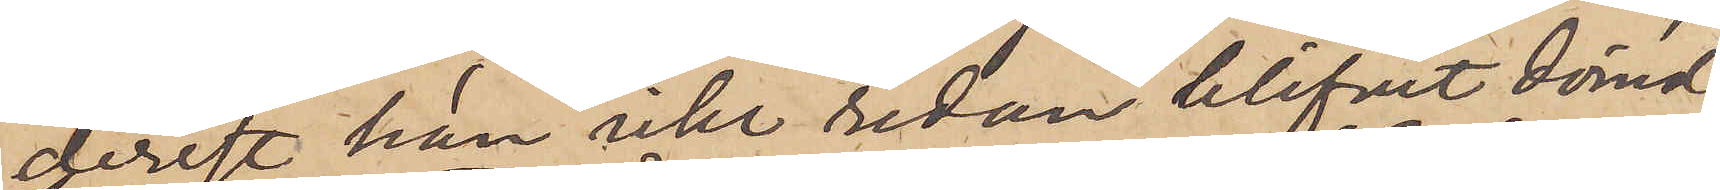derest han icke redan blifvit dömd,
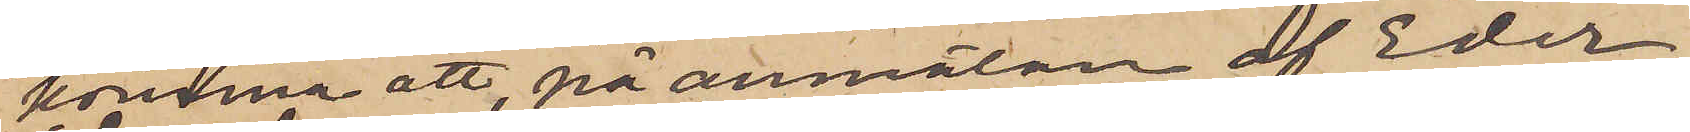komma att, på anmälan af Eder;
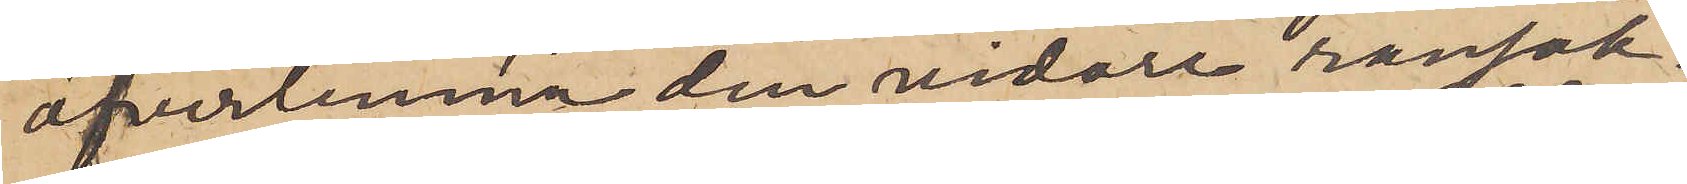öfverlemna den vidare ransak¬
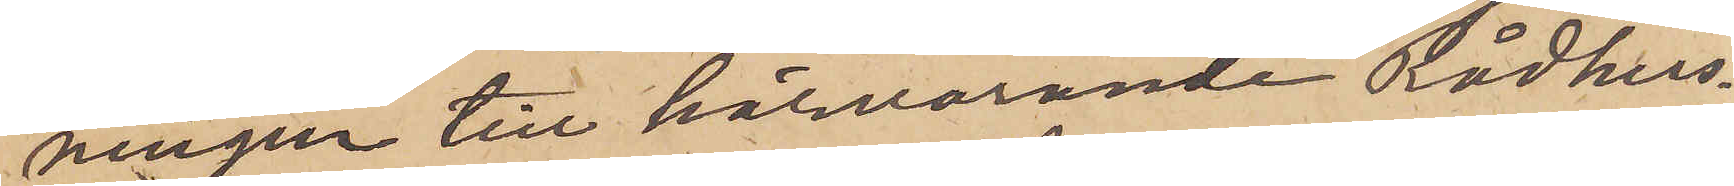ningen till härvarande Rådhus¬
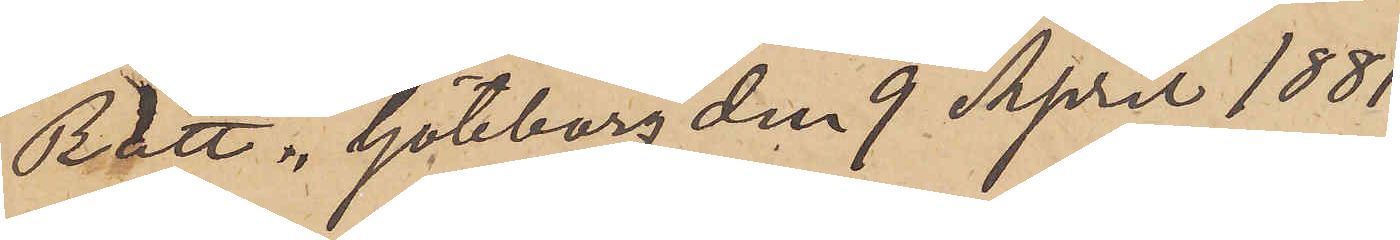Rätt. Göteborg den 9 April 1881.
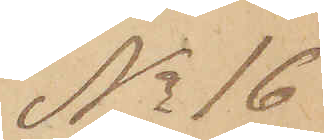No 16
